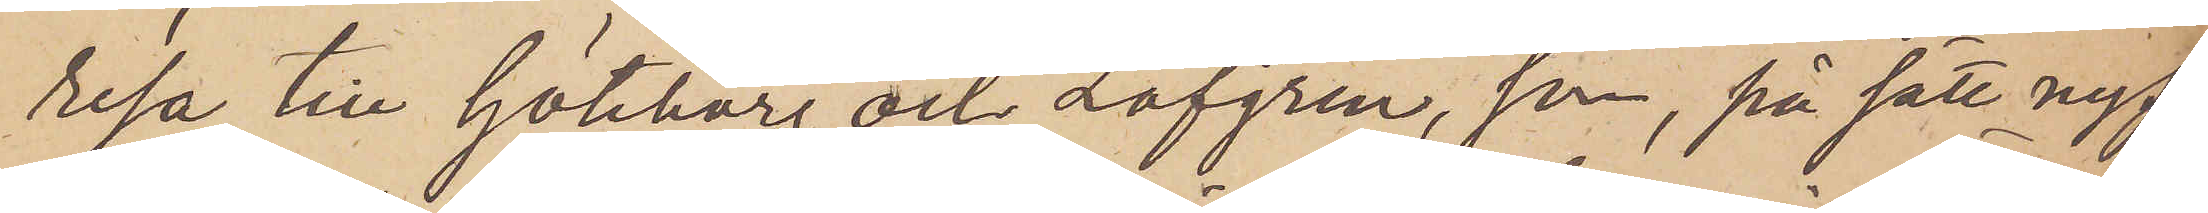resa till Göteborg och Löfgren, som, på sätt nyss
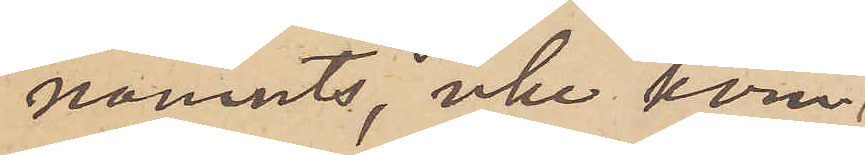nämnts, icke kom¬
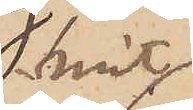mit
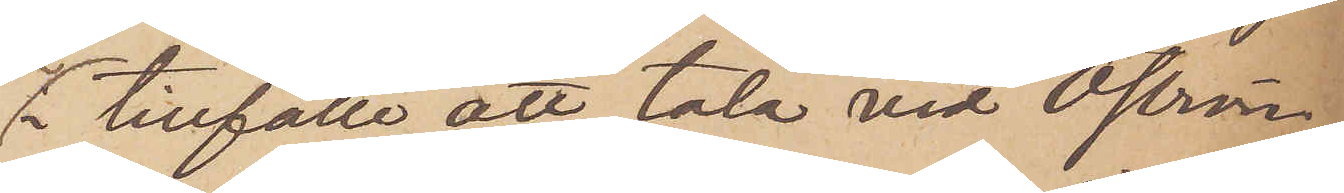i tillfälle att tala vid Öström,
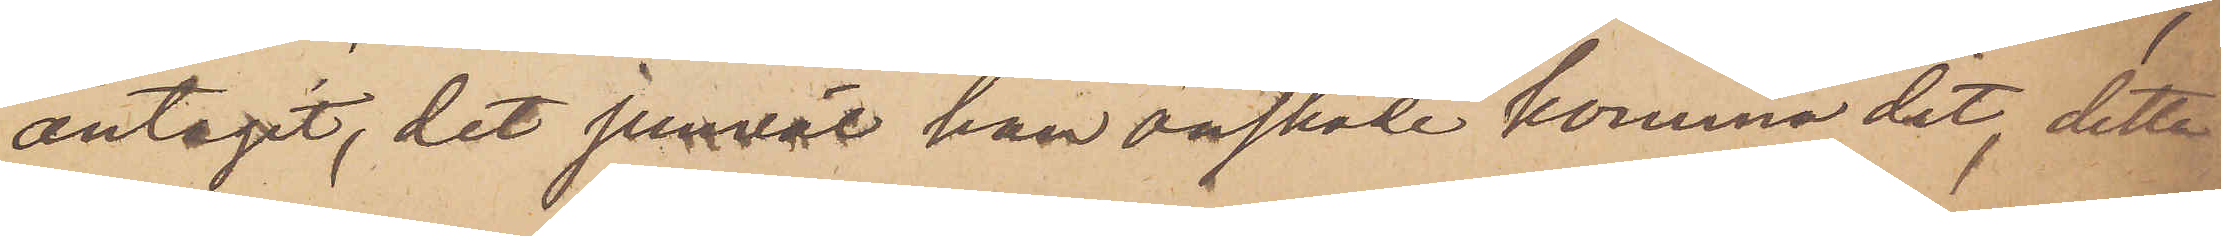antagit, det jemväl han önskade komma dit, detta
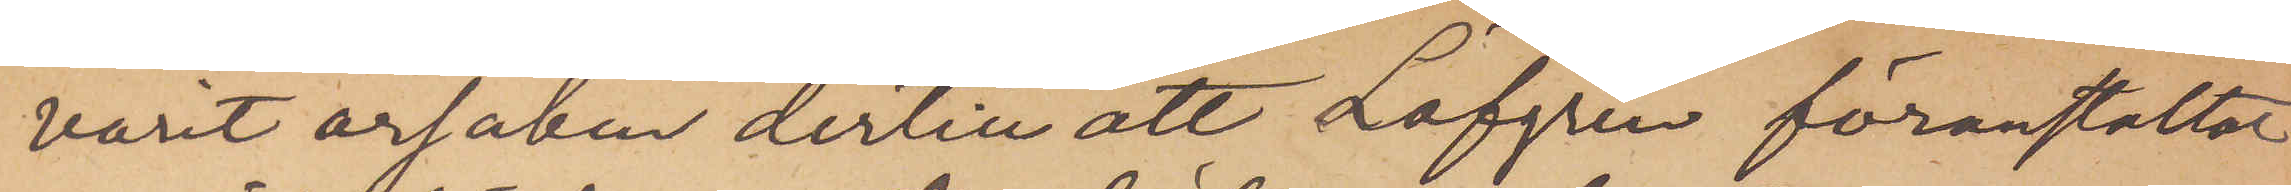varit orsaken dertill att Löfgren föranstaltat
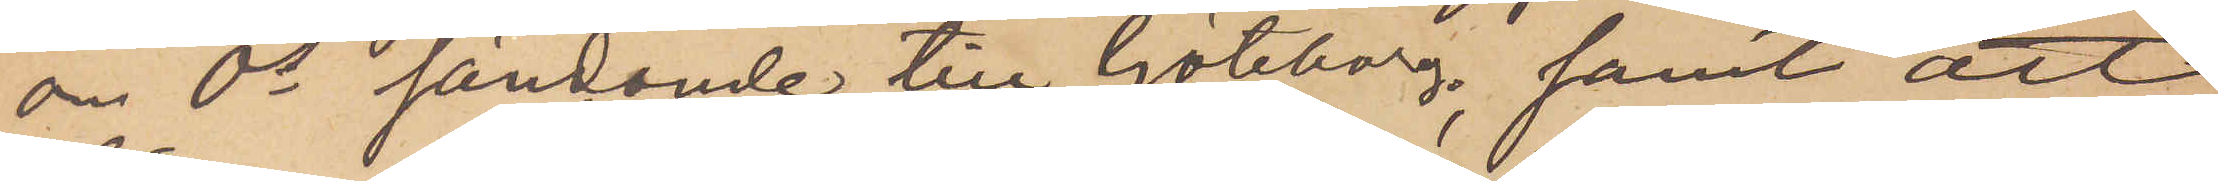om Ös sändande till Göteborg, samt att
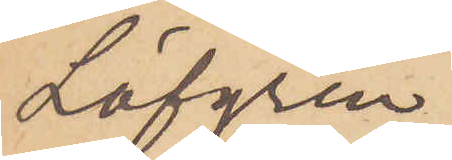Löfgren
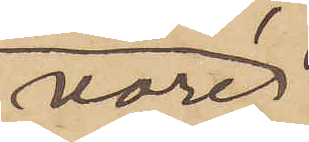vore
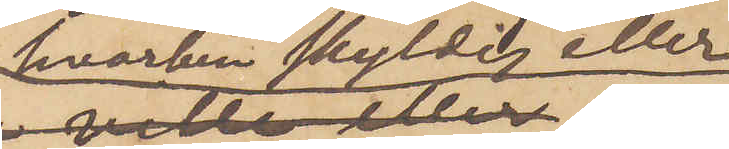varken skyldig eller
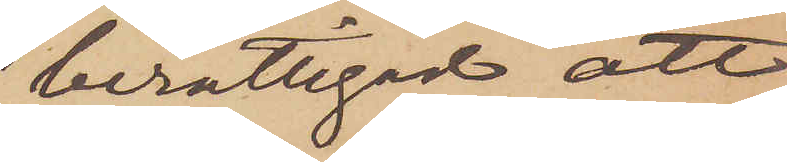berättigad att
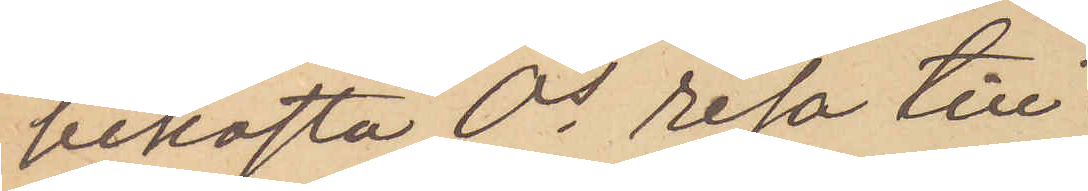bekosta Ös resa till
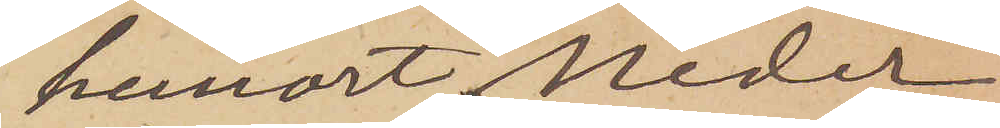hemort, Neder
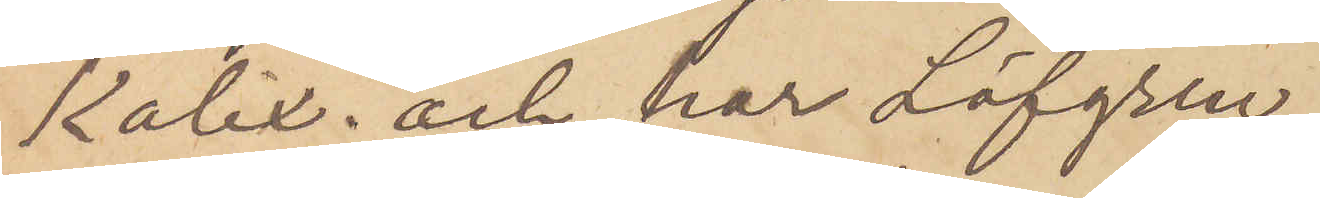Kalix; och har Löfgren
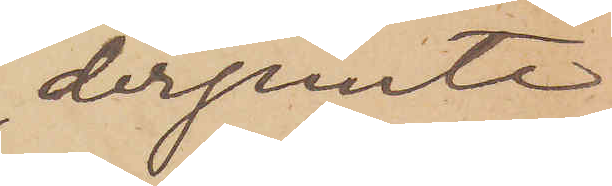derjemte,
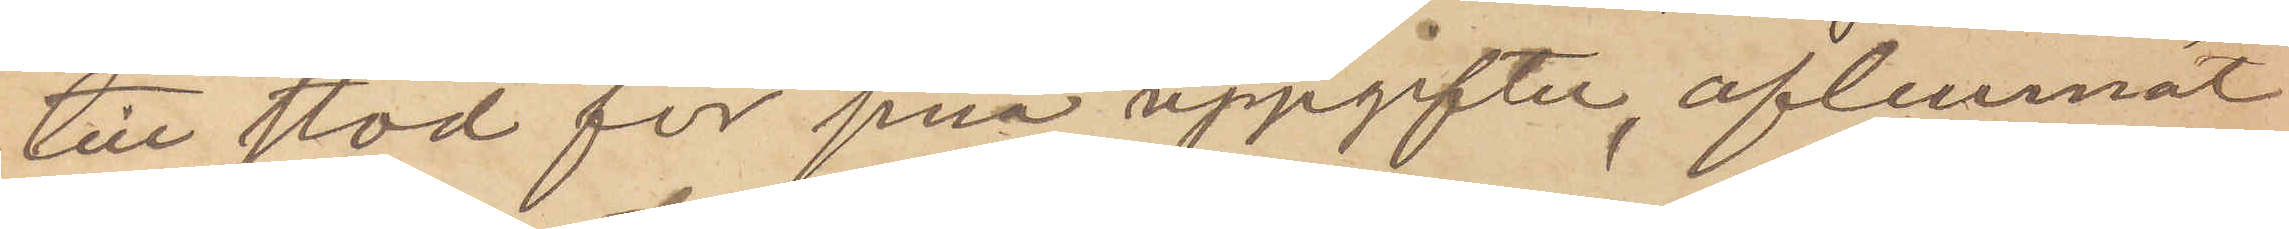till stöd för sina uppgifter, aflemnat
